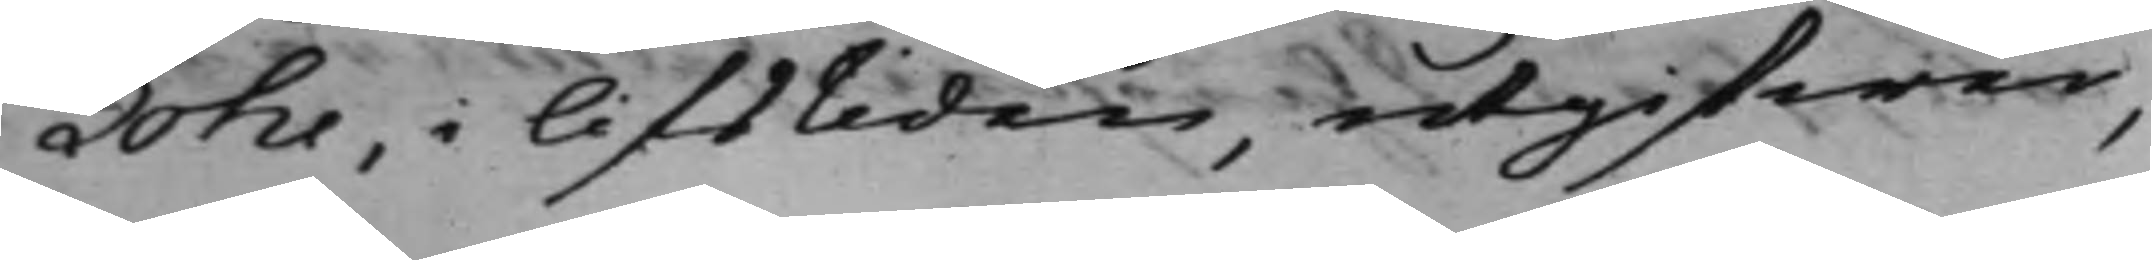Lohe, i lifstiden, utgifwer,
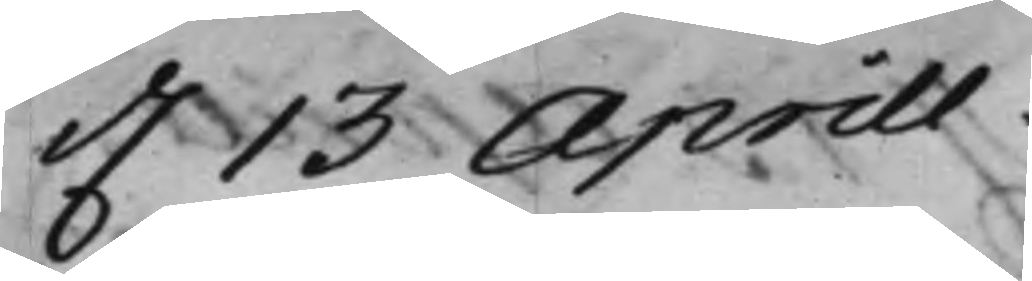d. 13 Aprill.
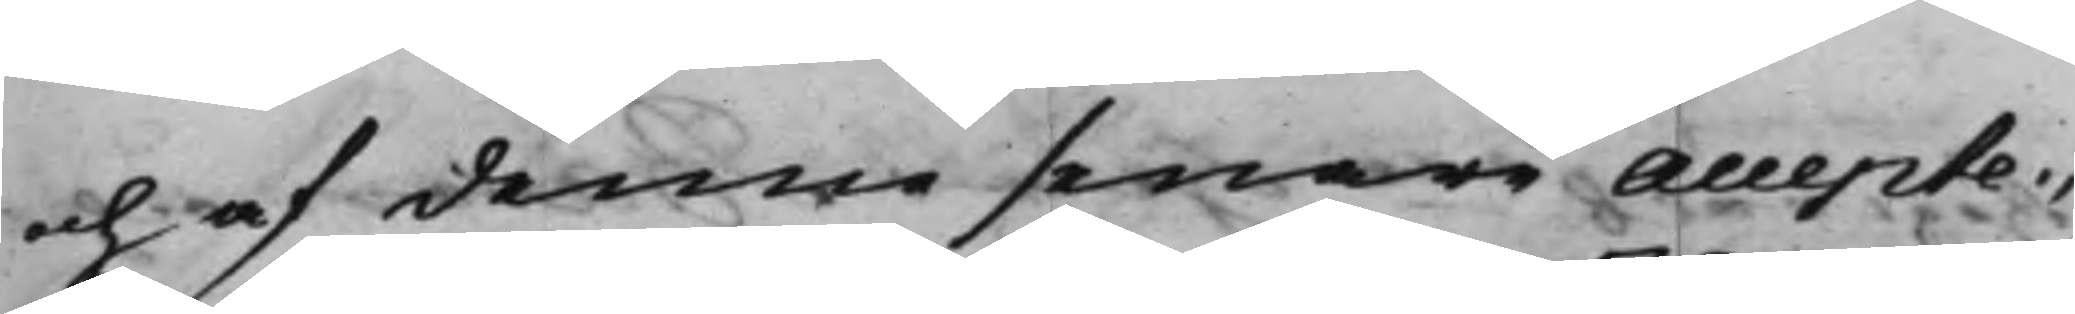och af denne senare accepte¬
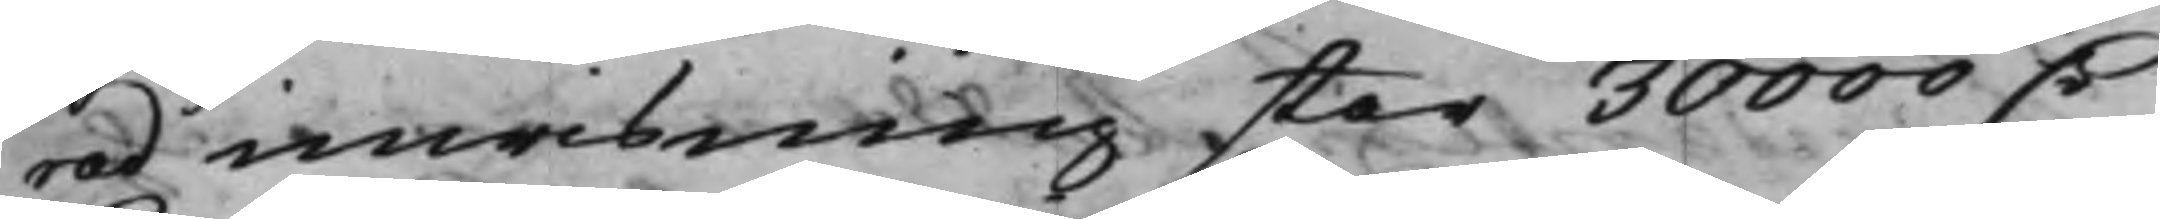rad inwisning står 30000 D.r
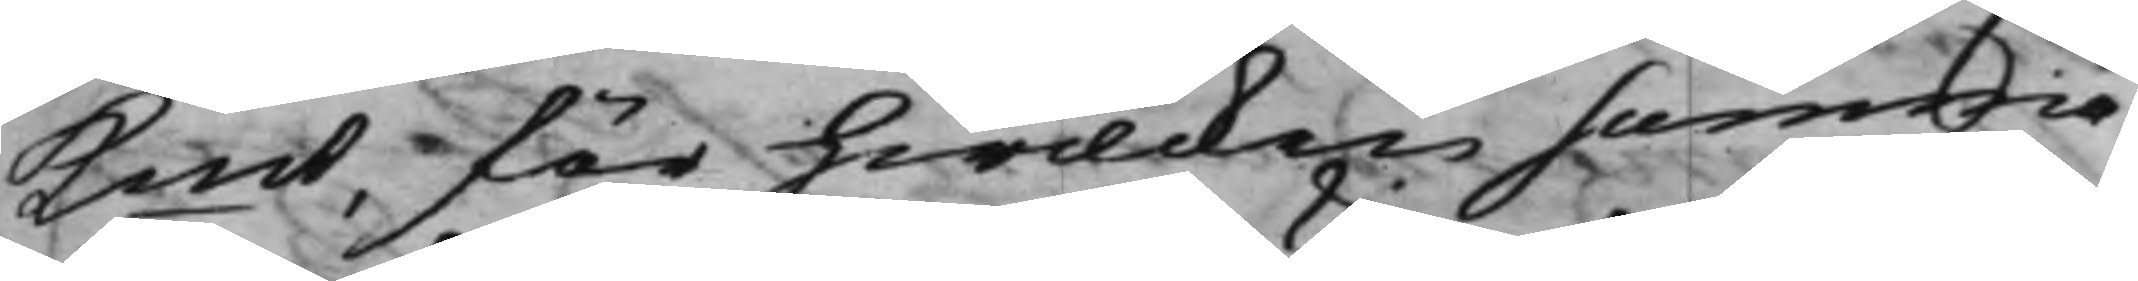Kmt, för hwilcken summa
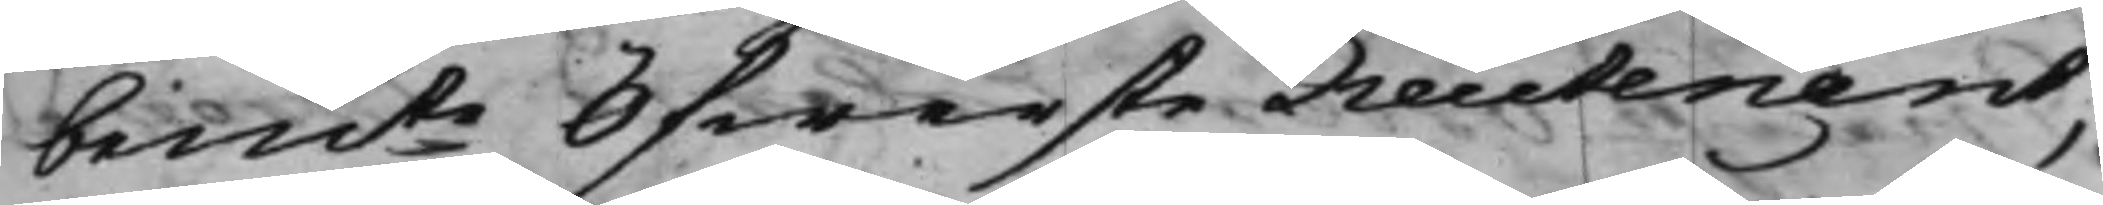bemte Öfwerste Lieutenant,
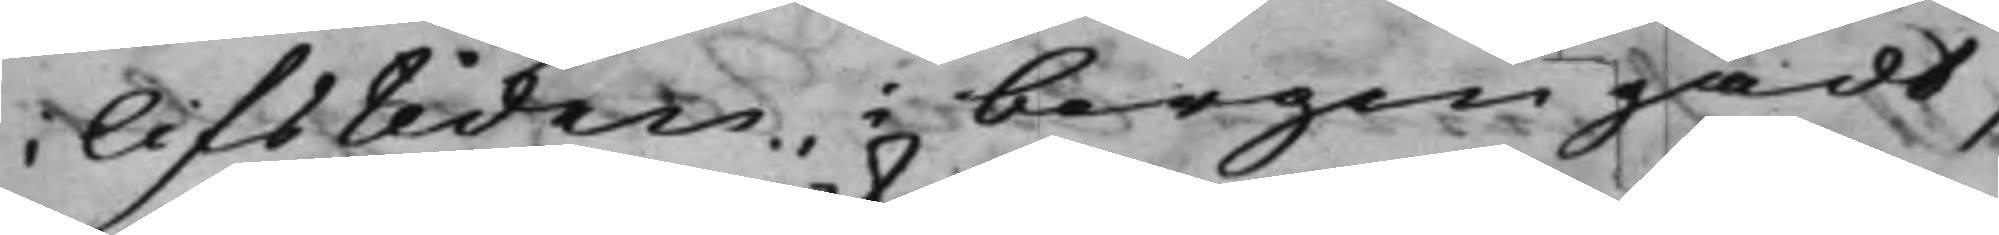i lifstiden, i borgen gådt,
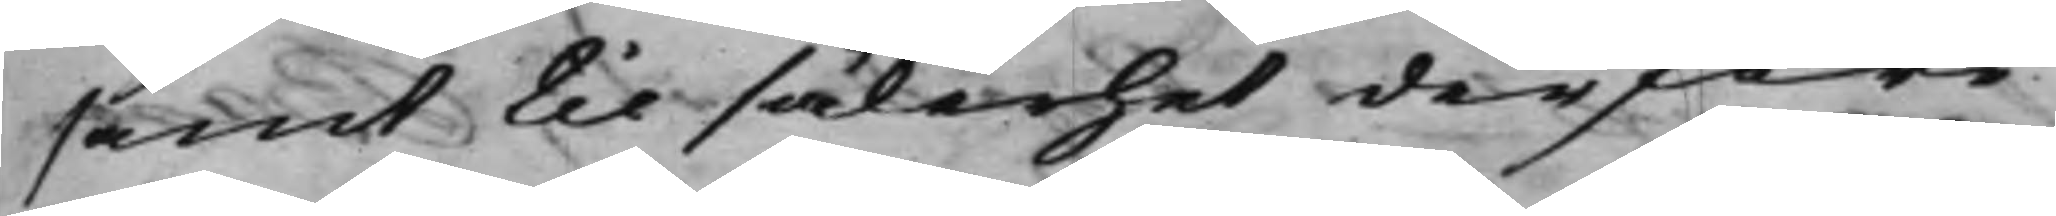samt til sakerhet derföre
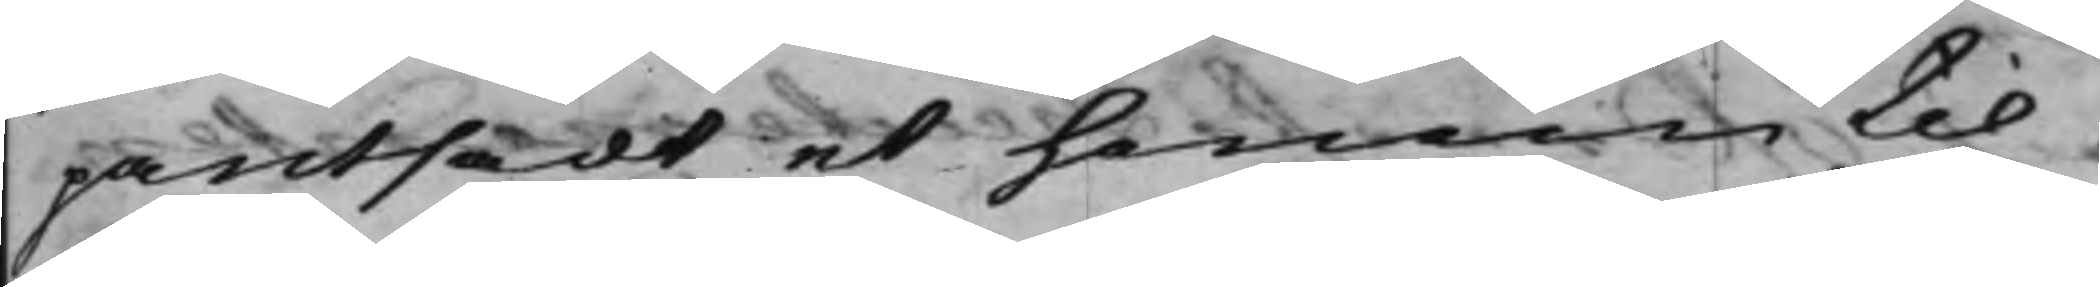pantsadt et honom til¬
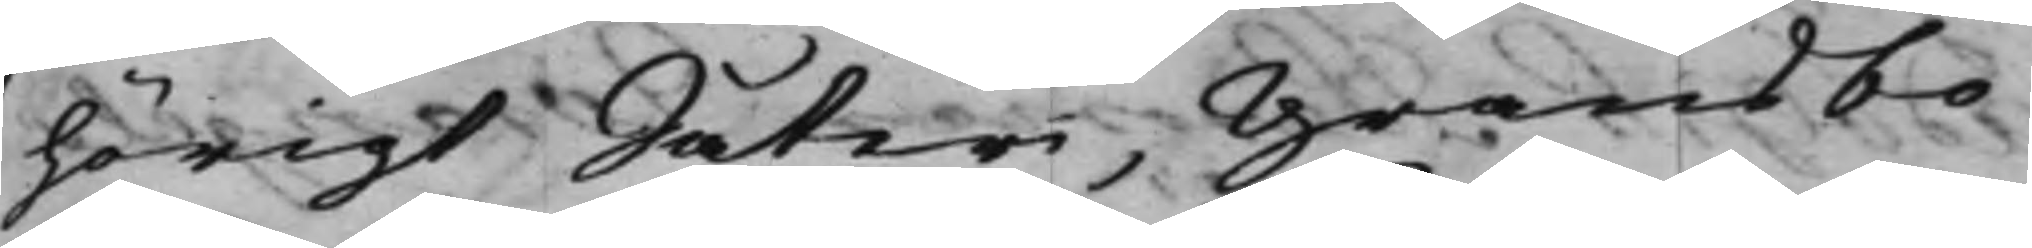hörigt Säteri, Gransbo
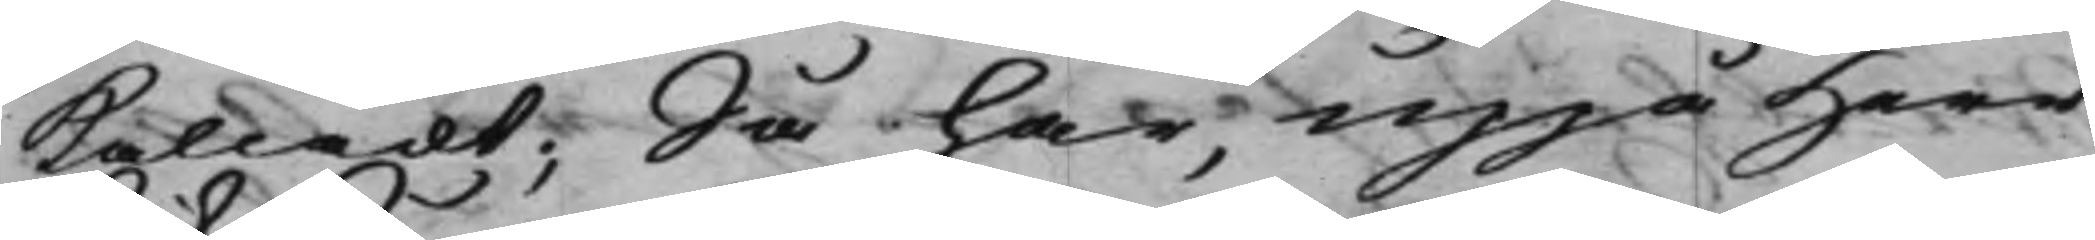kalladt; Så har, uppå Herr
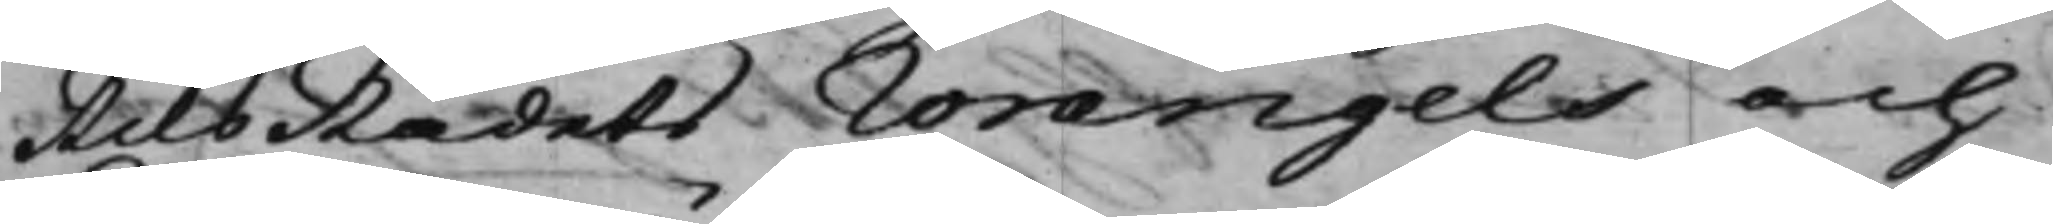RiksRådets Wrangels och
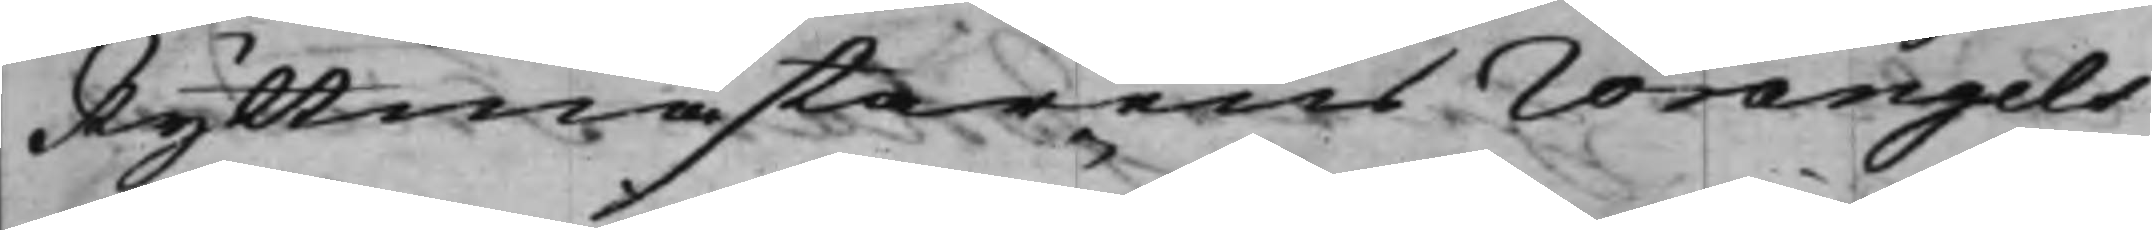Ryttmästarens Wrangels
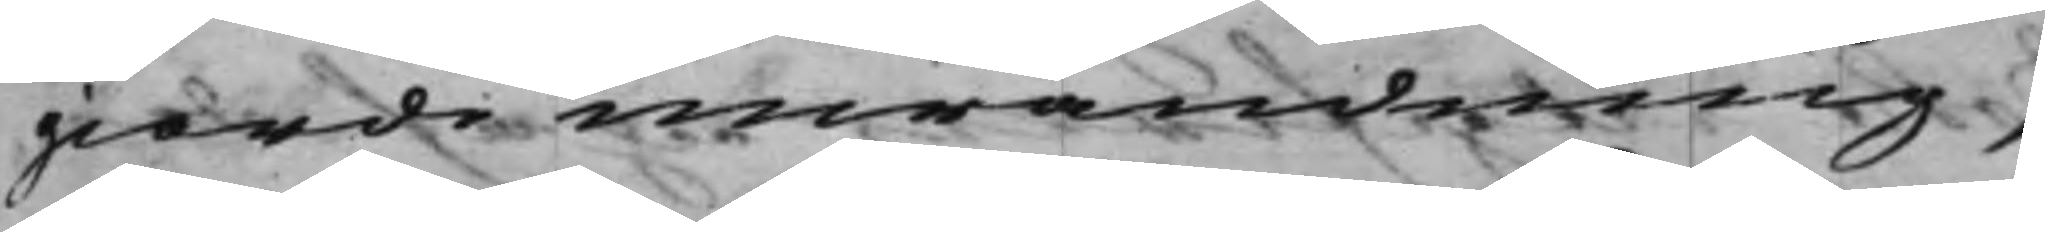giorde inwändning,
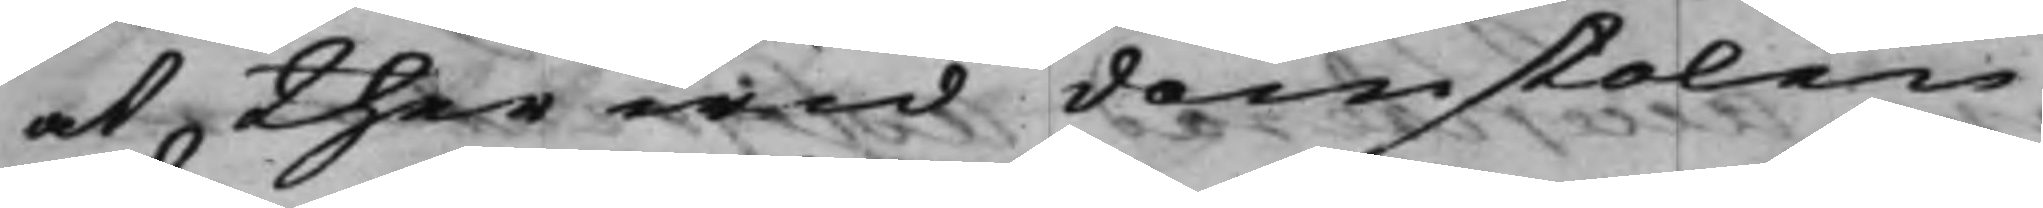at ther wid domstolen
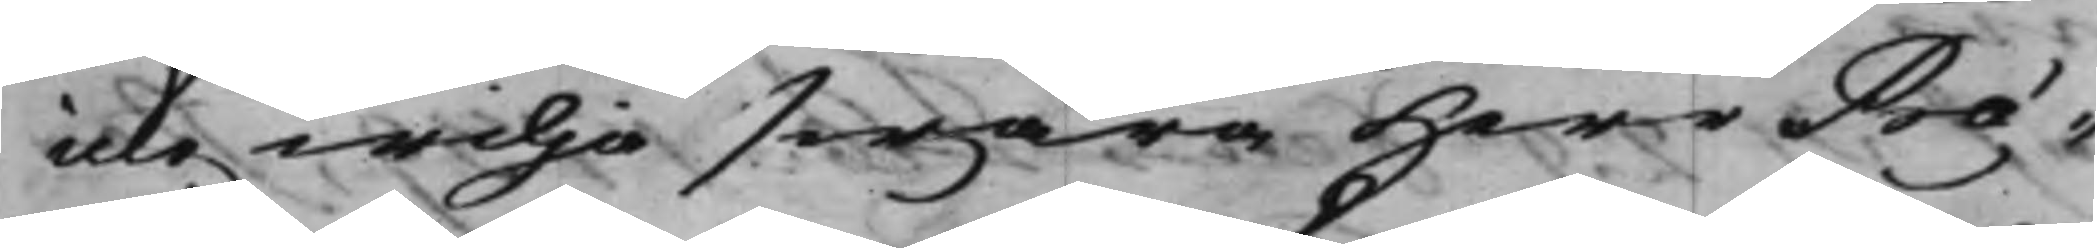icke wilja swara Herr Præ¬
